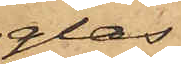glas
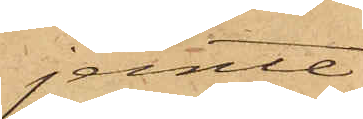jemte
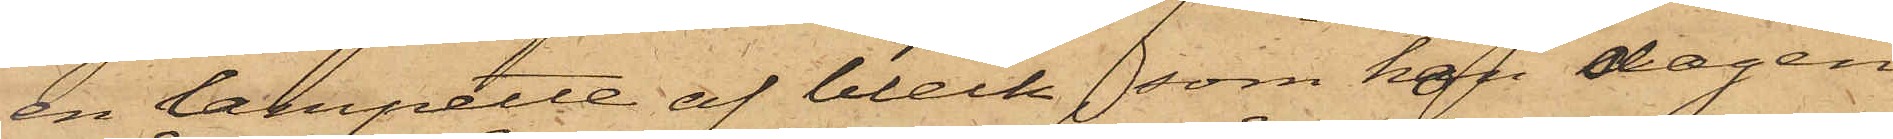en lampette af bleck, som hon dagen
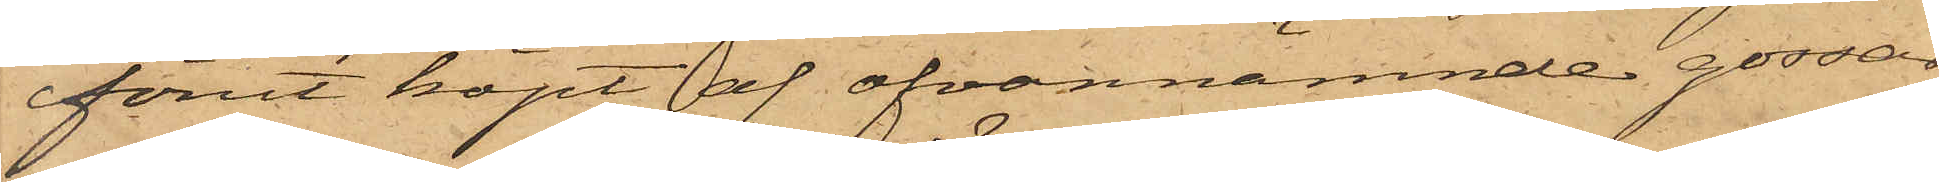förut köpt af ofvannämnde gossar
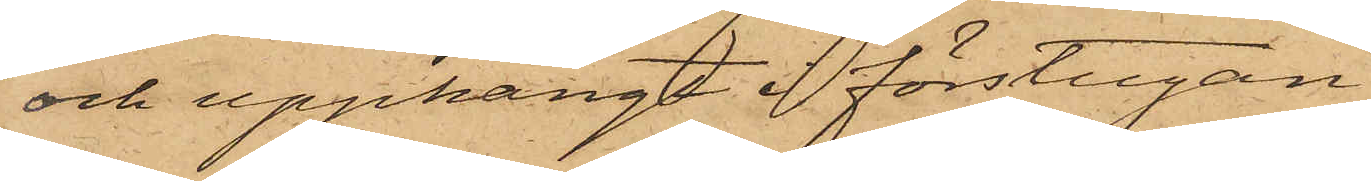och upphängt i förstugan.
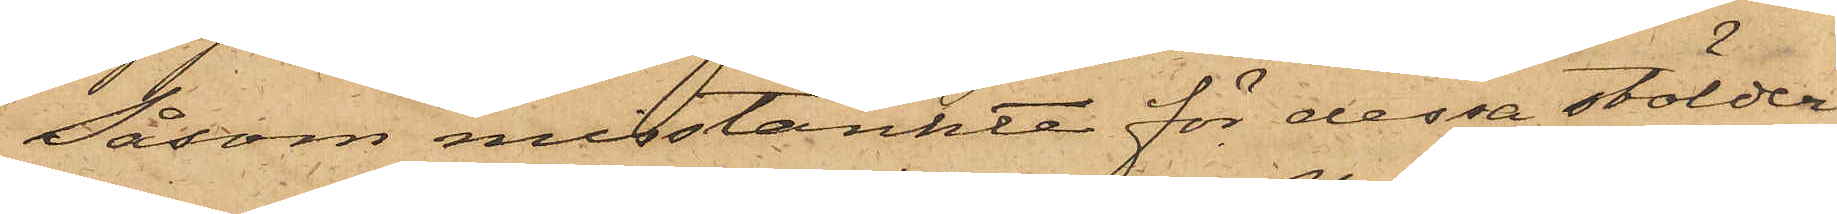Såsom misstänkte för dessa stölder
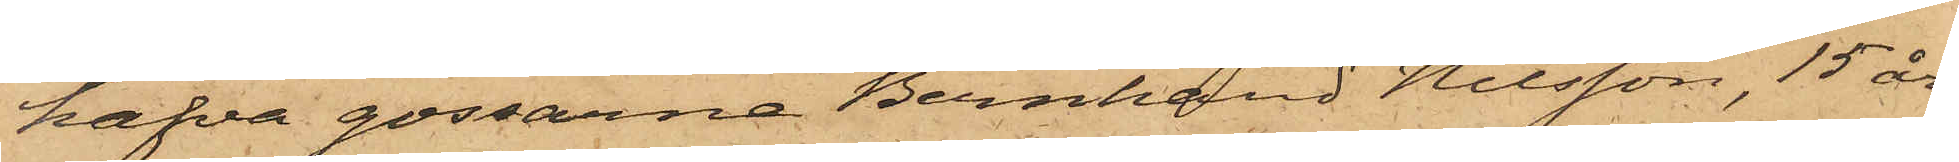hafva gossarna Bernhard Nilsson, 15 år
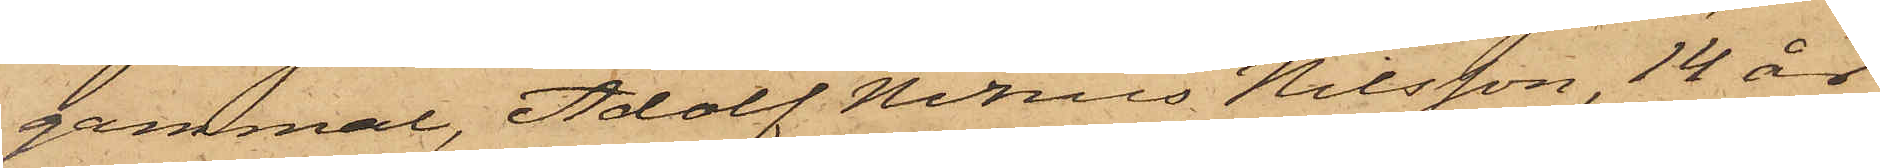gammal, Adolf Ninus Nilsson 14 år
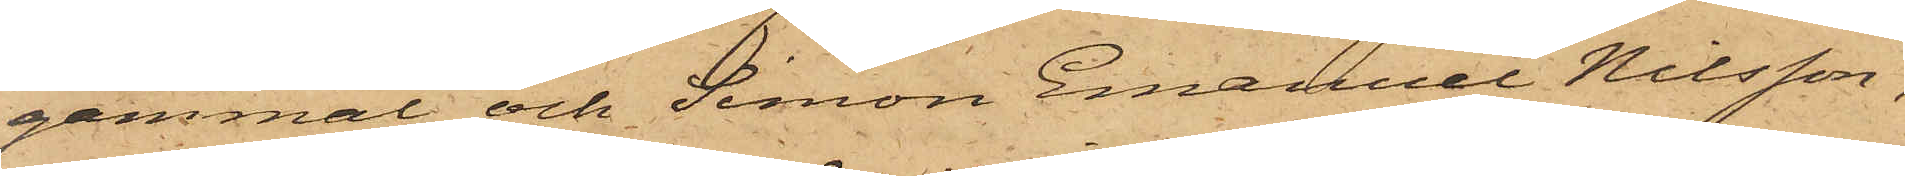gammal och Simon Emanuel Nilsson,
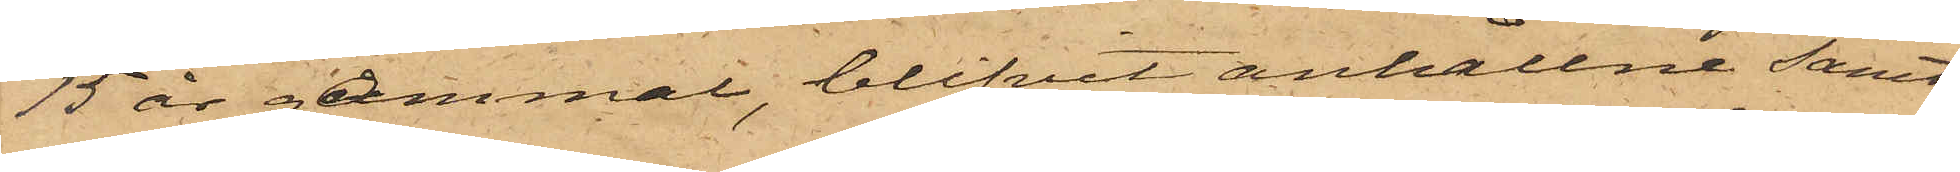15 år gammal, blifvit anhållne samt
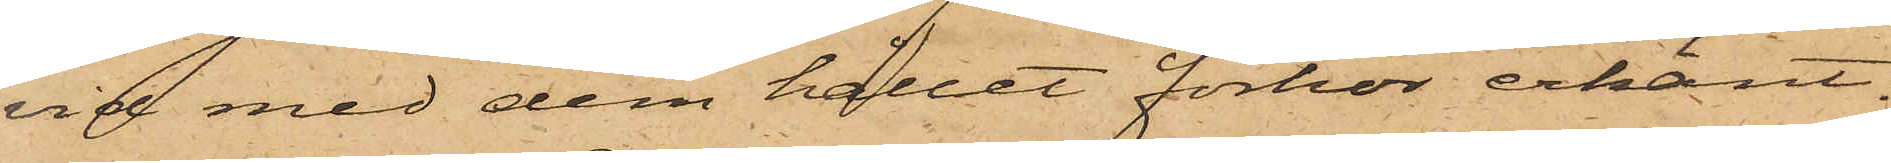vid med dem hållet förhör erkänt:
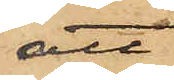att
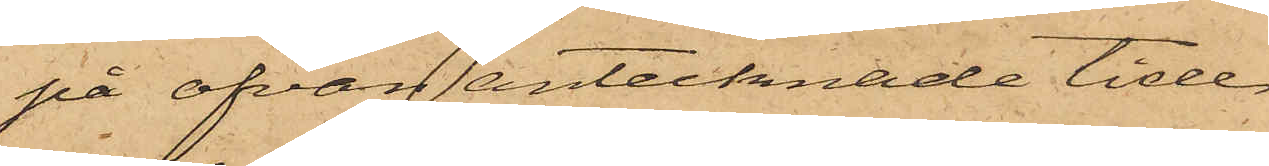på ofvan antecknade tider
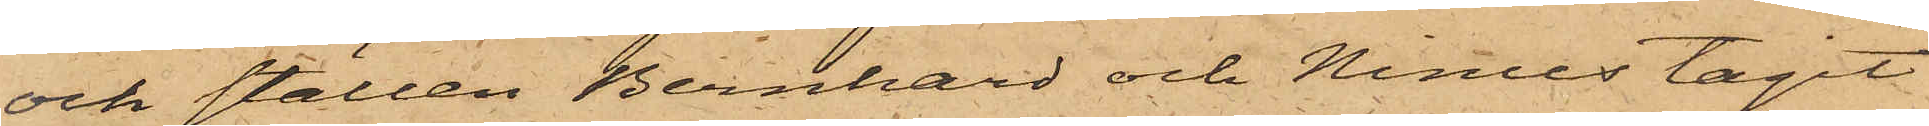och ställen Bernhard och Ninus tagit
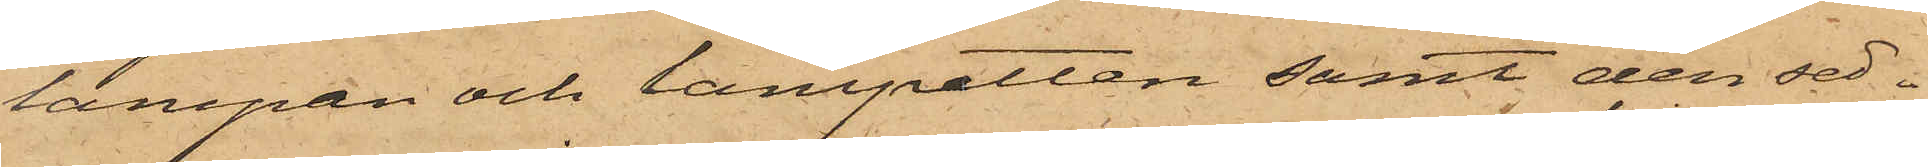lampan och lampetten samt den sed¬
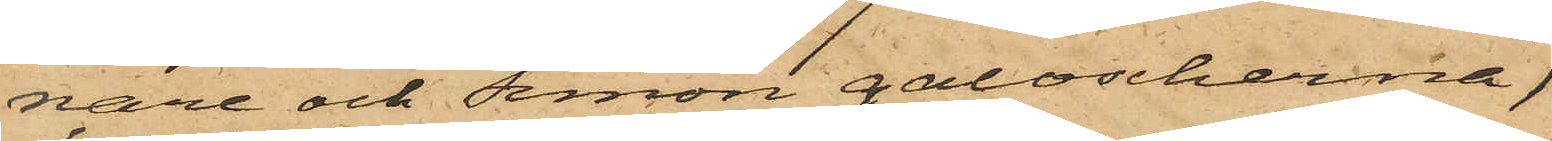nare och Simon galoscherna,
